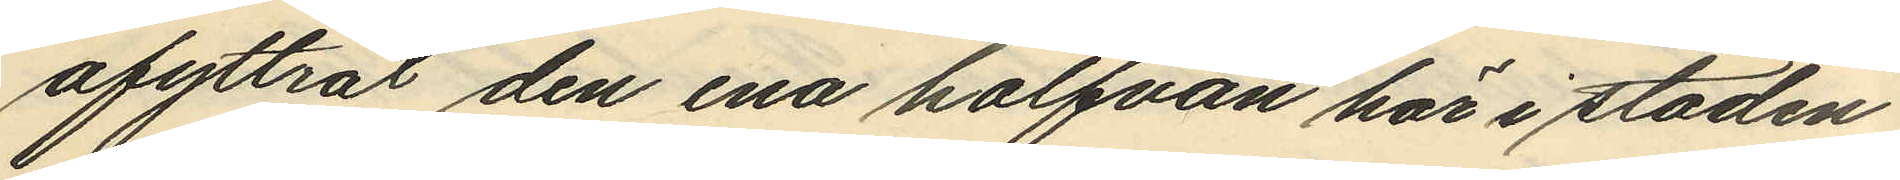afyttrat den ena halfvan här i staden
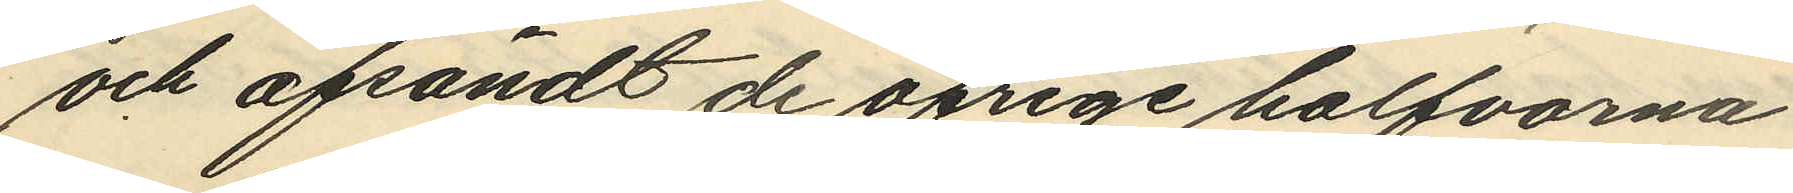och afsändt de öfrige halfvorna
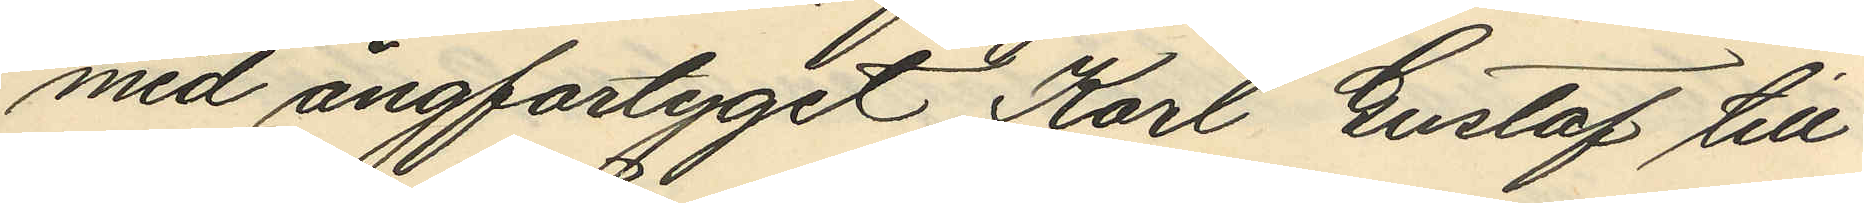med ångfartyget Karl Gustaf till
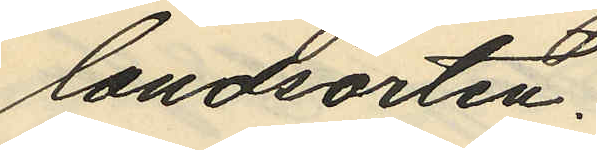landsorten.
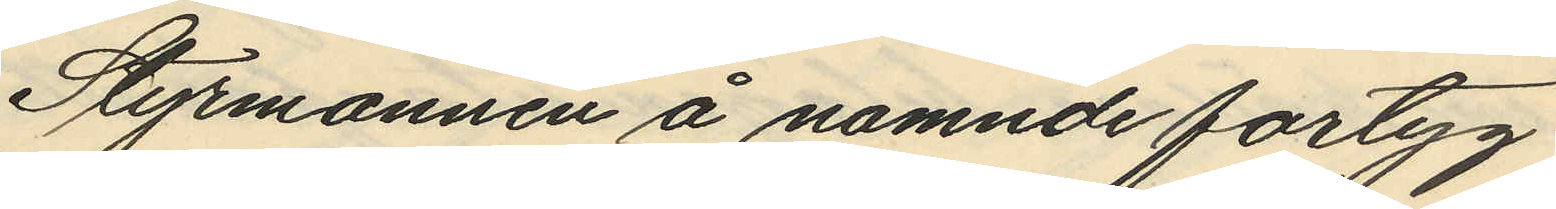Styrmannen å namnde fartyg
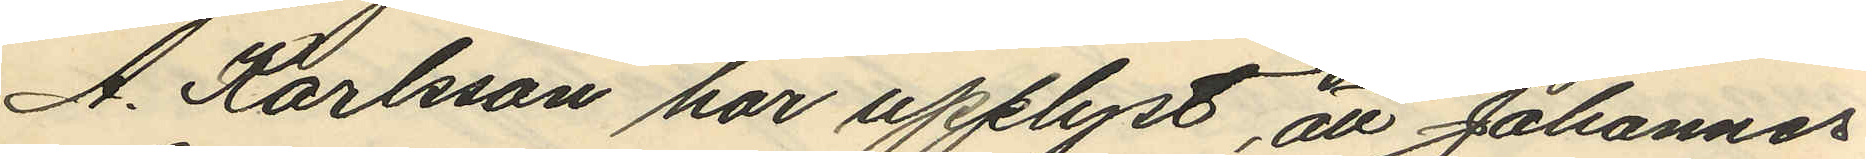A. Karlsson har upplyst, att Johannes
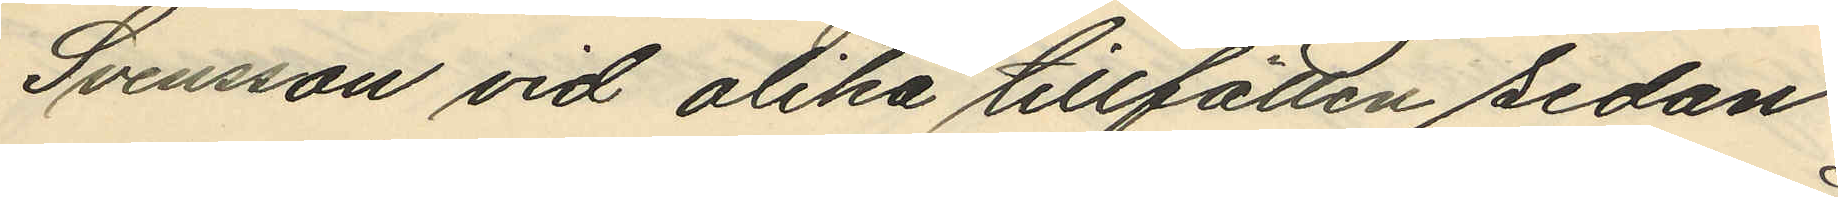Svensson vid olika tillfällen sedan
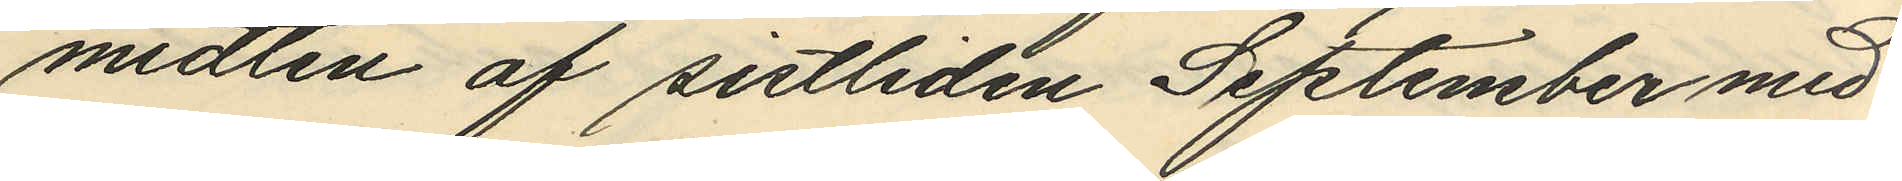midten af sistliden September med
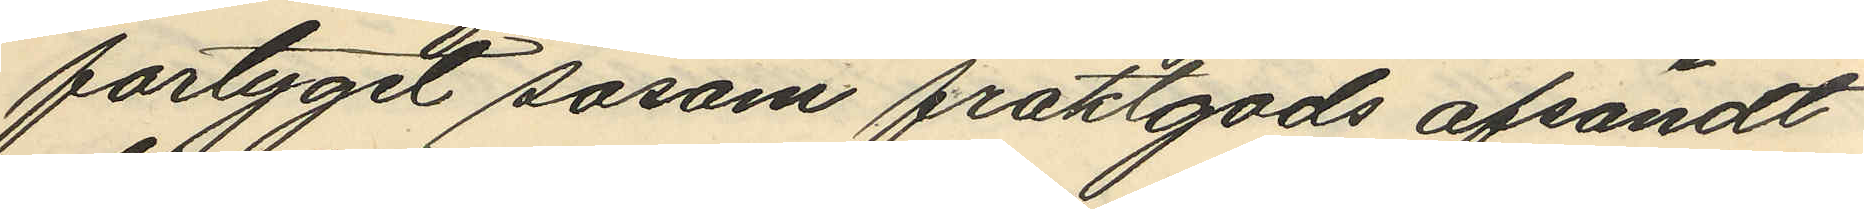fartyget såsom fraktgods afsändt
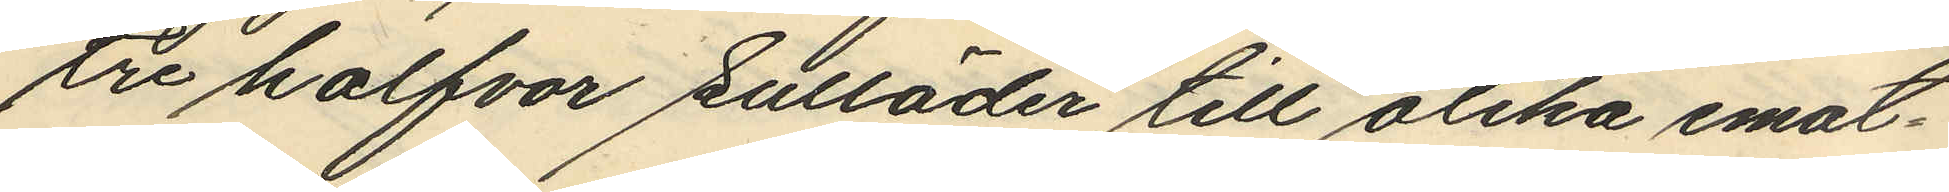tre halfvor sulläder till olika emot¬
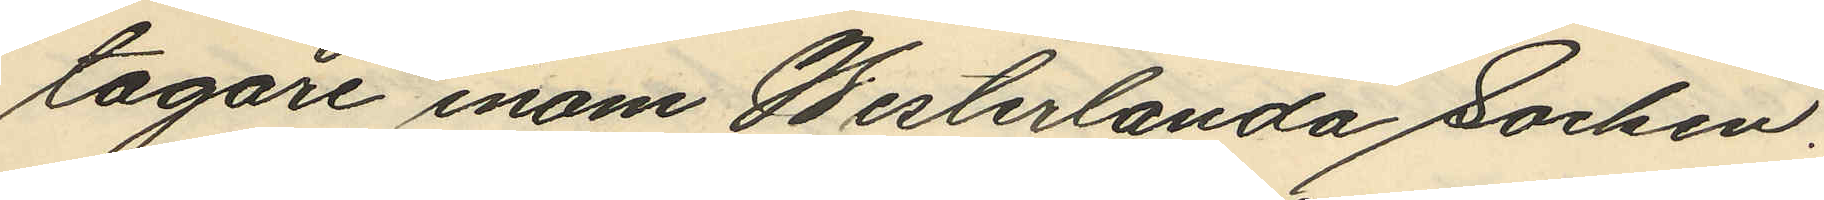tagare inom Westerlanda Socken,
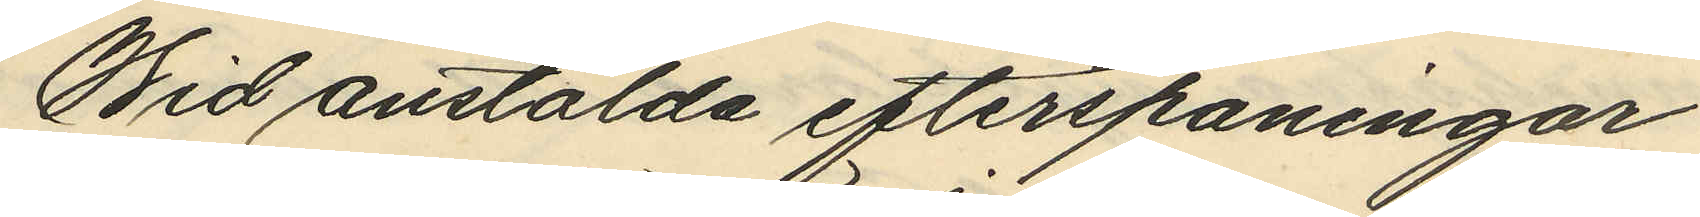Wid anstälda efterspaningar
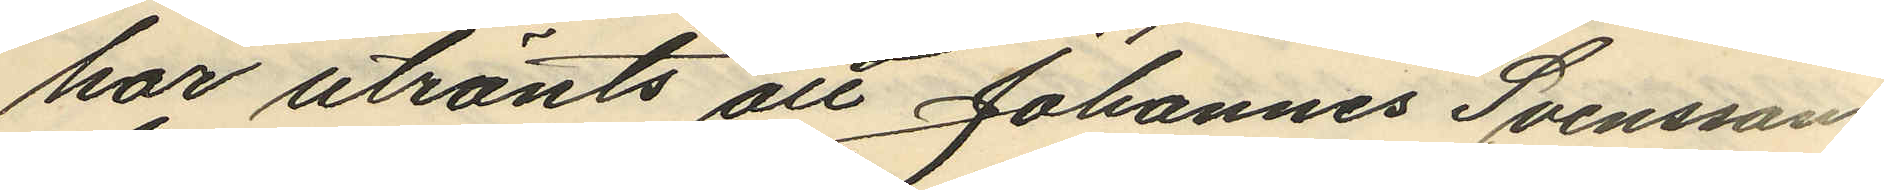har utrönts att Johannes Svensson,
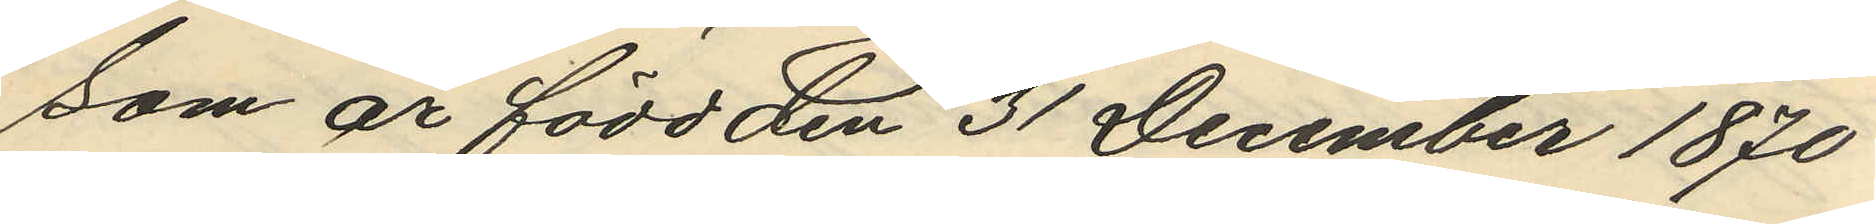som är född den 31 December 1870
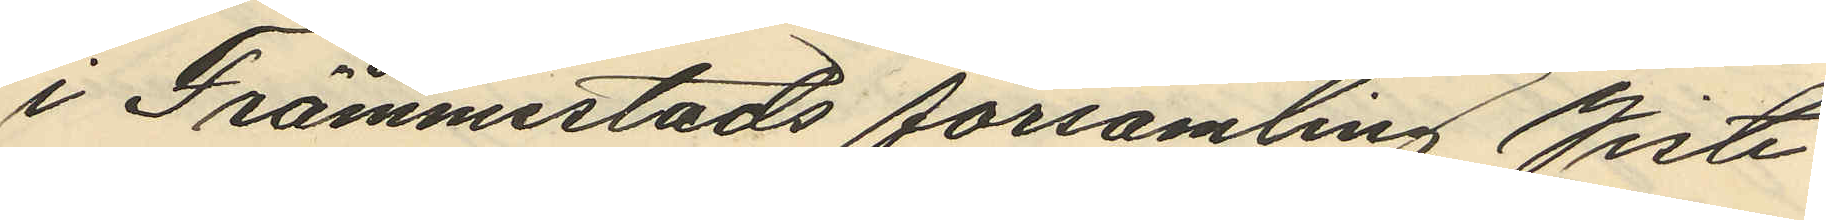i Främmestads församling Viste
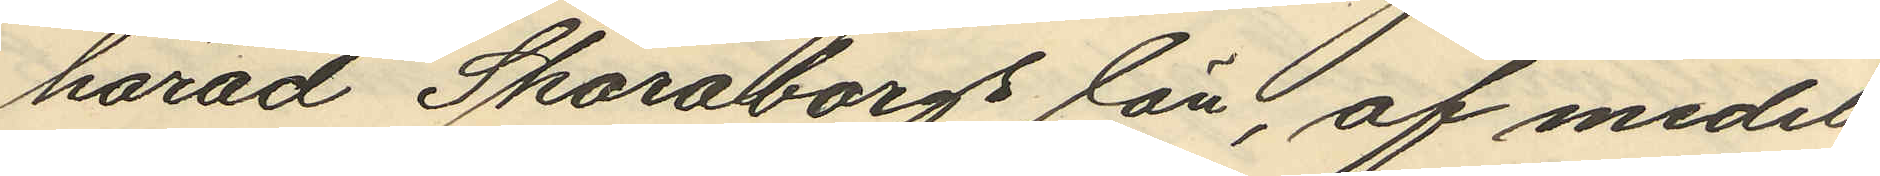härad Skaraborgs län, af medel¬
